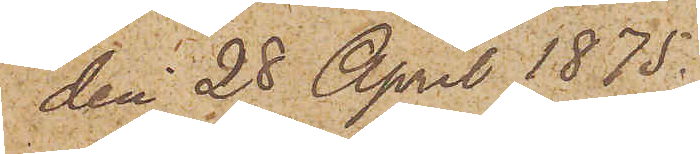den 28 April 1875.
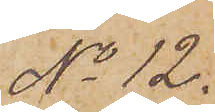No 12.
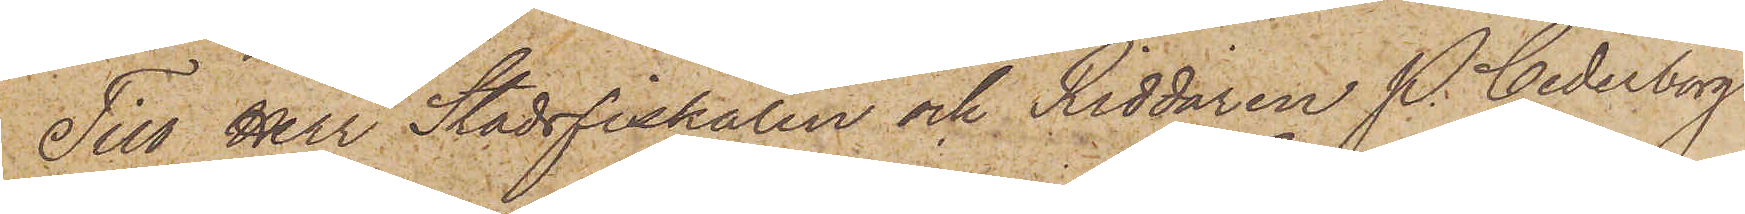Till Herr Stadsfiskalen och Riddaren P. Cederborg
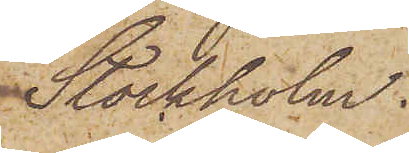Stockholm.
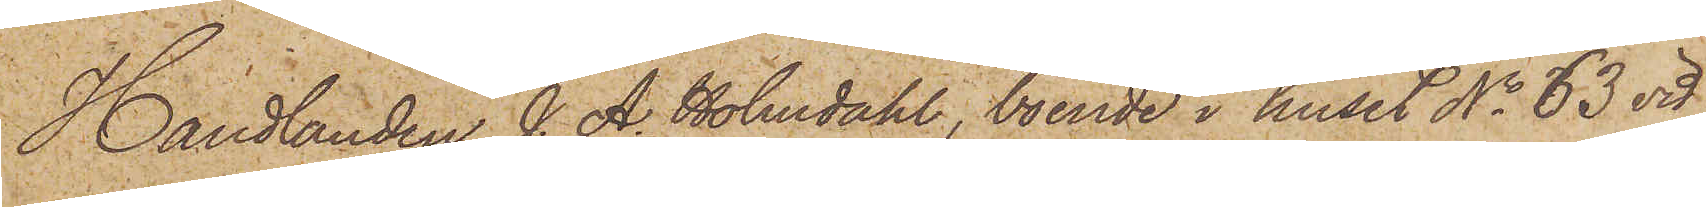Handlanden J. A. Holmdahl, boende i huset No 63 vid
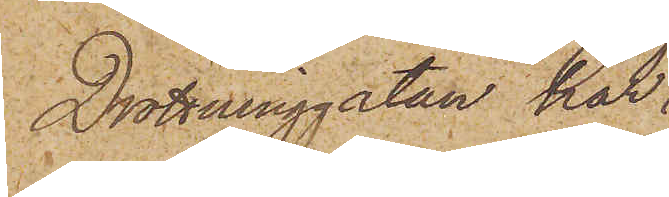Drottninggatan har
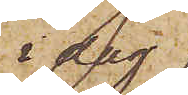i dag
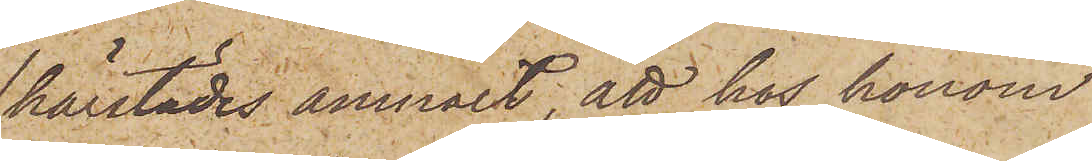härstädes anmält, att hos honom
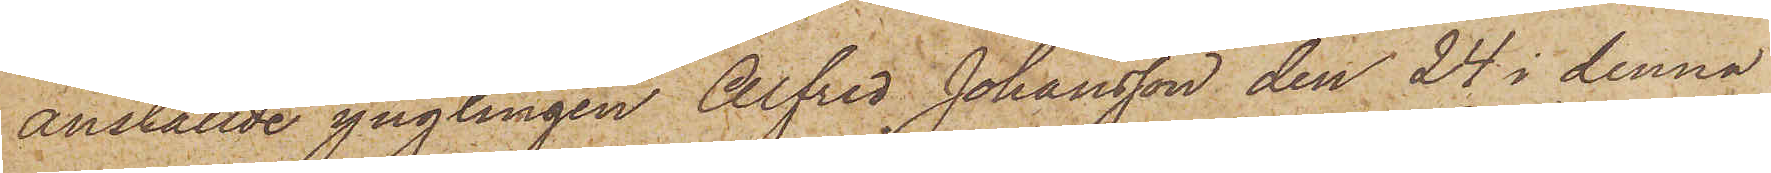anställde ynglingen Alfred Johansson den 24 i denna
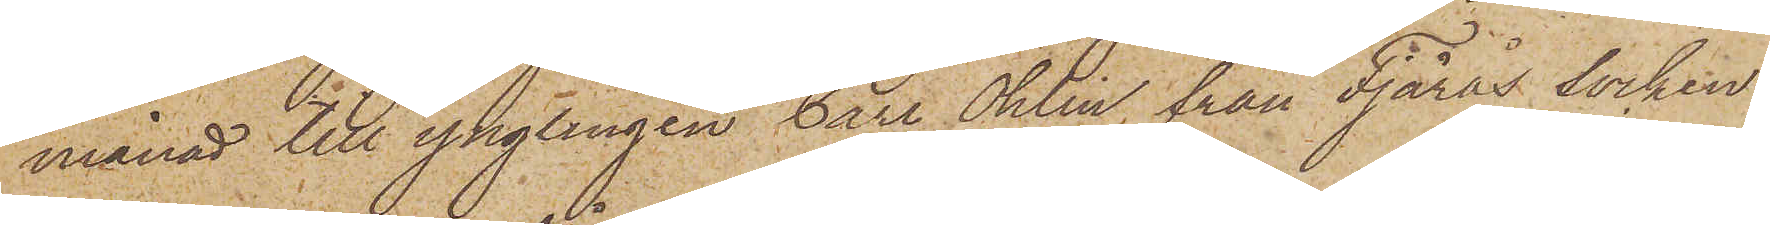månad till ynglingen Carl Ohlin, från Fjärås socken
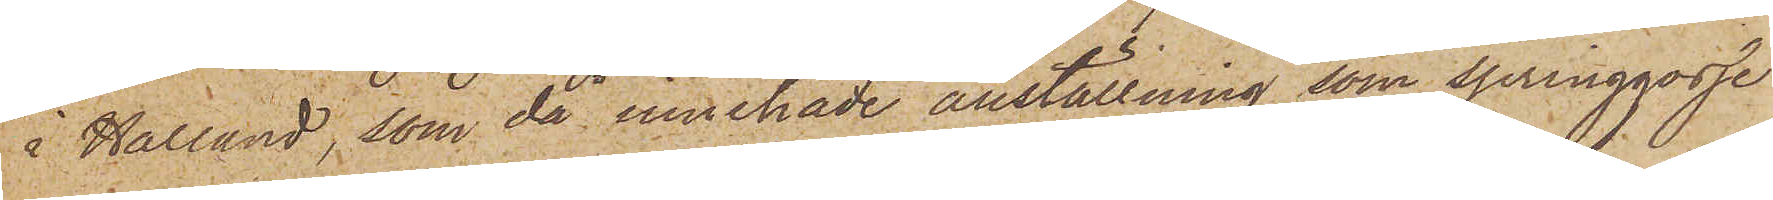i Halland, som då innehade anställning, som springgosse
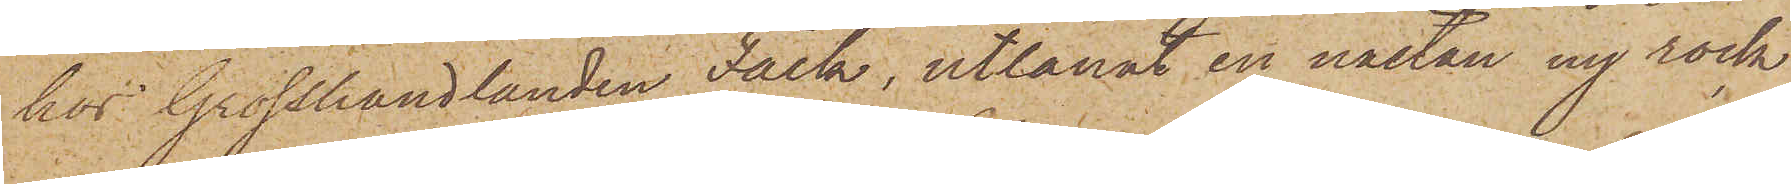hos Grosshandlanden Falk, utlånat en nästan ny rock
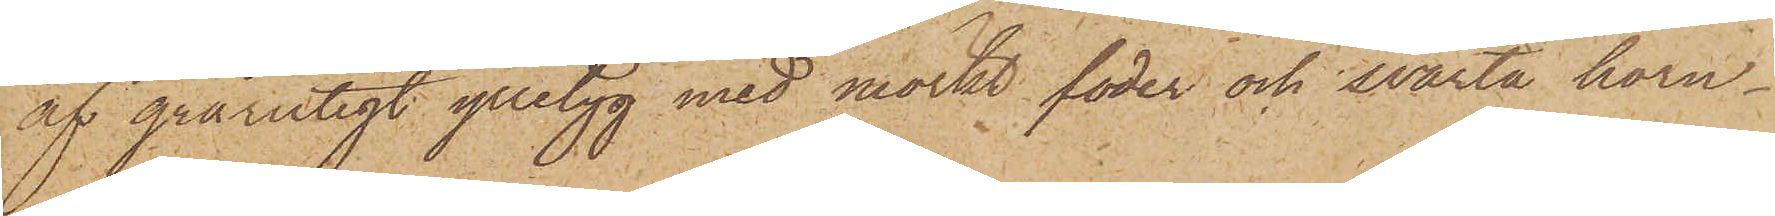af grårutigt ylletyg med mörkt foder och svarta horn¬
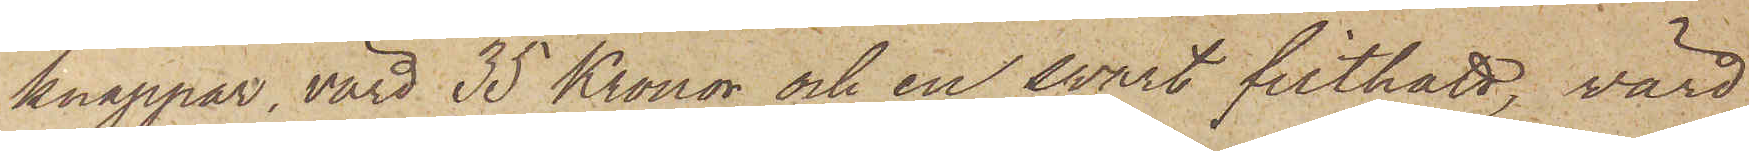knappar, värd 35 Kronor och en svart filthatt, värd
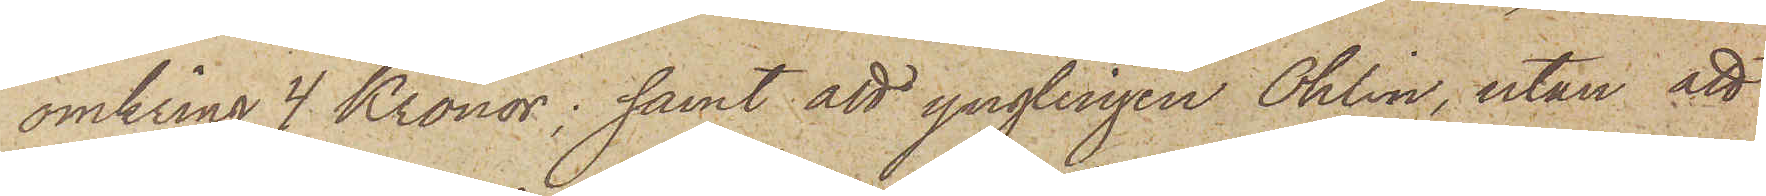omkring 4 Kronor; samt att ynglingen Ohlin, utan att
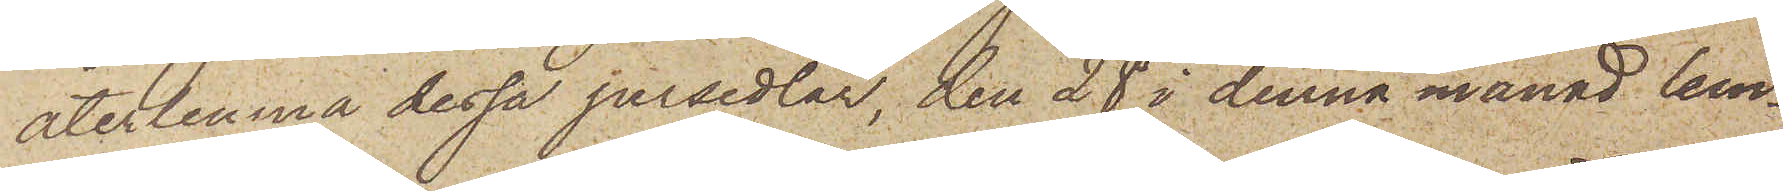återlemna dessa persedlar, den 28 i denna månad lem¬
